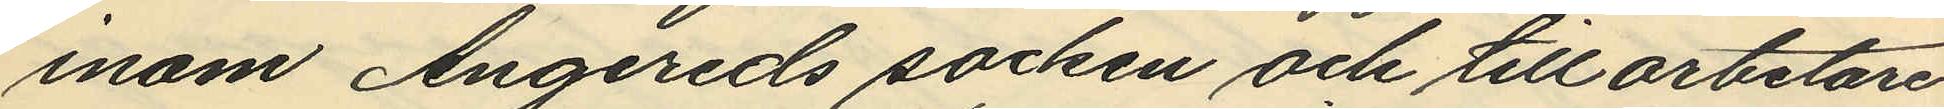inom Angereds socken och till arbetare
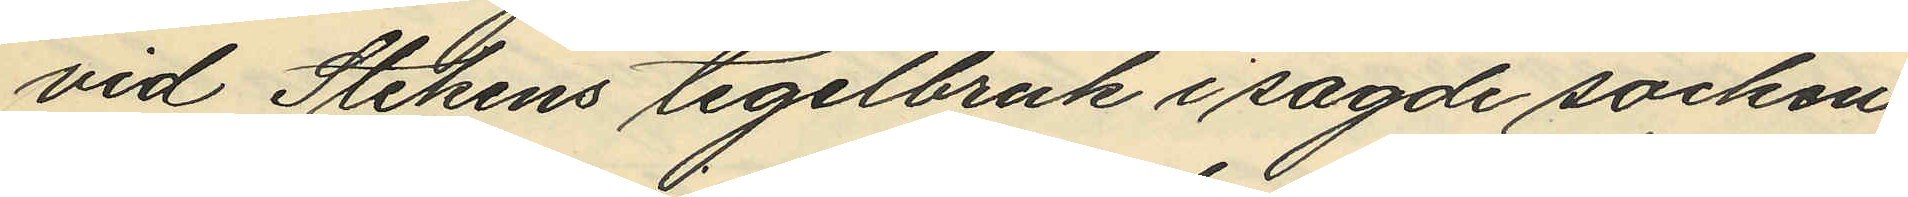vid Stekens tegelbruk i sagde socken
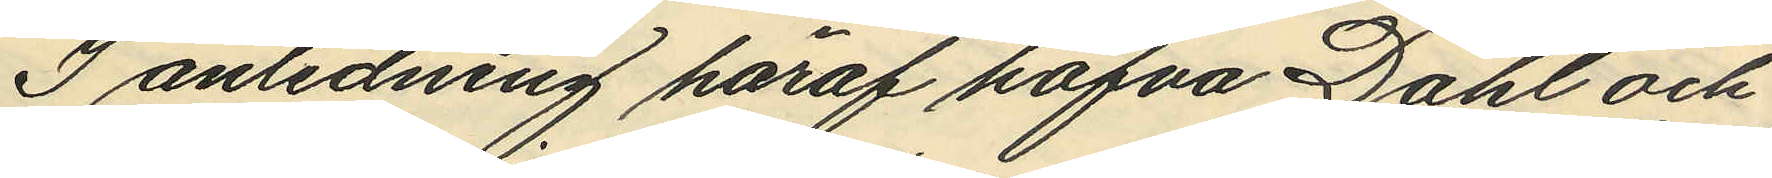I anledning häraf hafva Dahl och
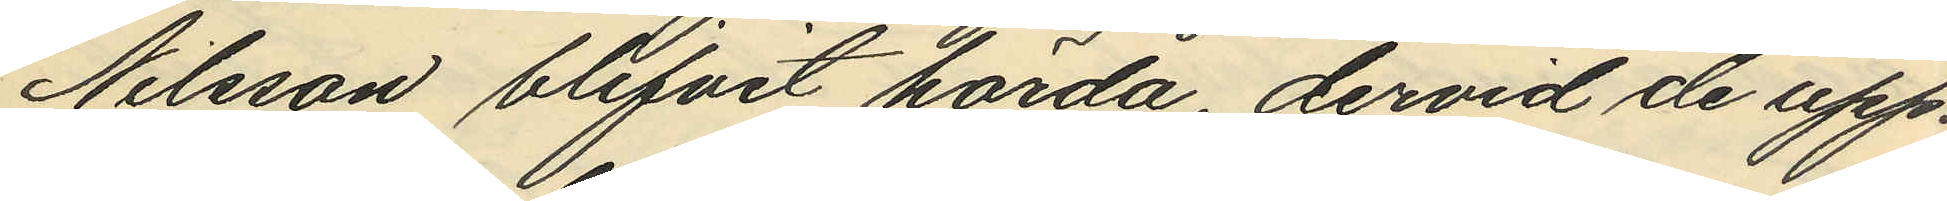Nilsson blifvit hörda, dervid de upp¬
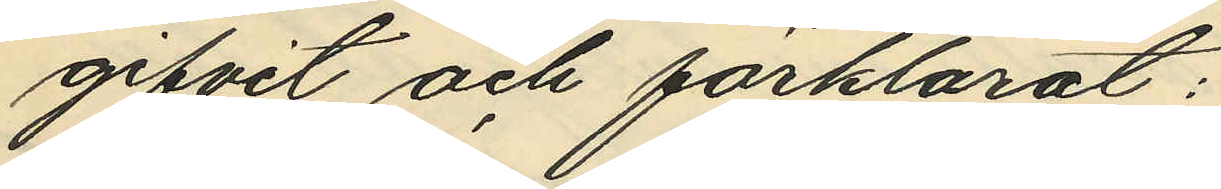gifvit och förklarat:
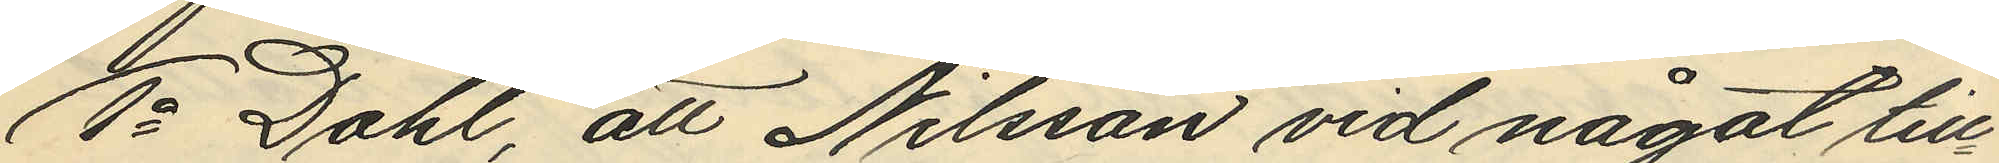1o Dahl, att Nilsson vid något till
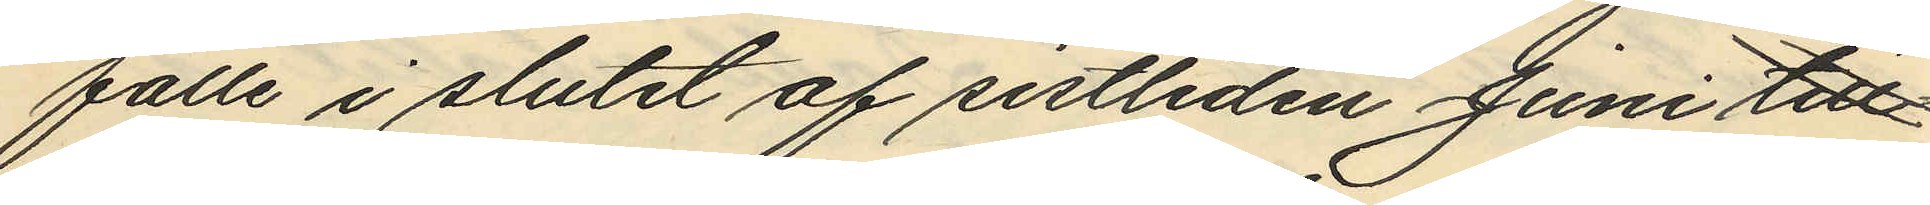fälle i slutet af sistliden Juni till¬
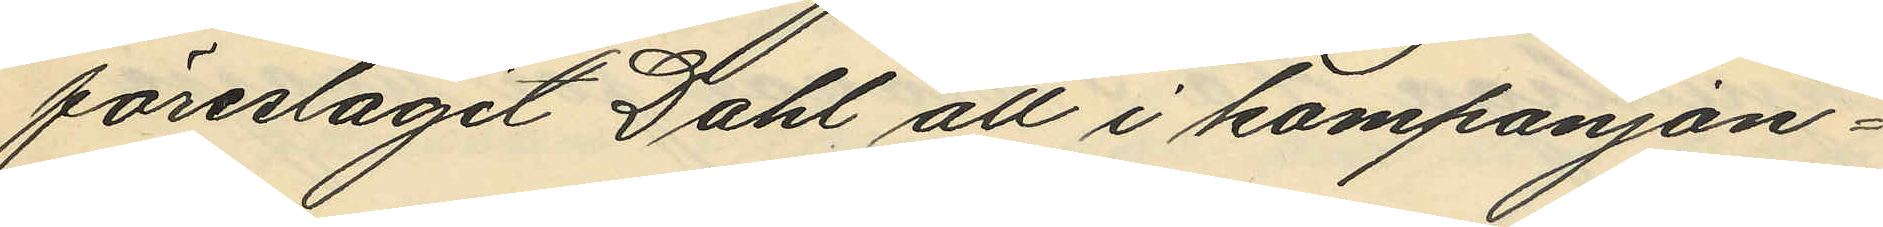föreslagit Dahl att i kompanjon¬
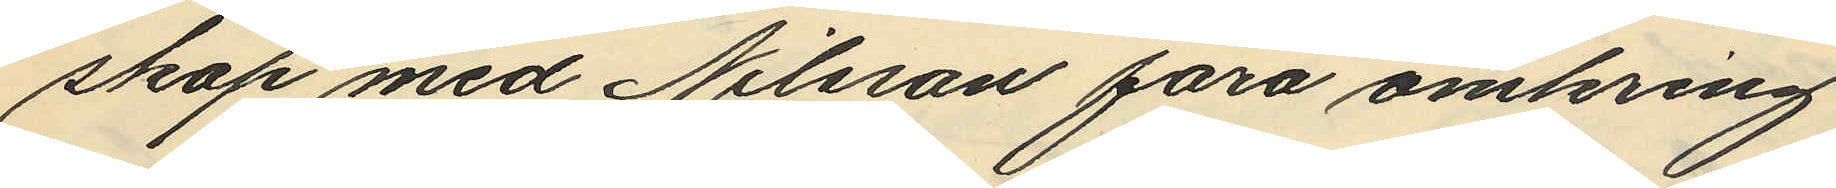skap med Nilsson fara omkring
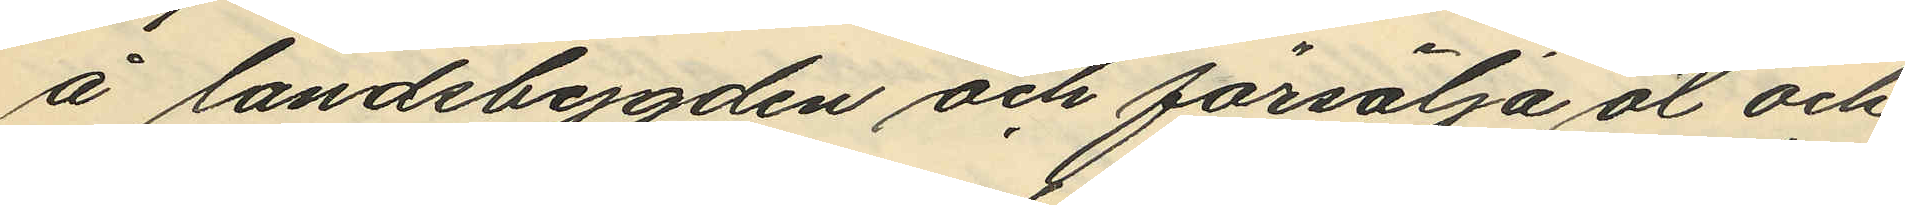å landsbygden och försälja öl och
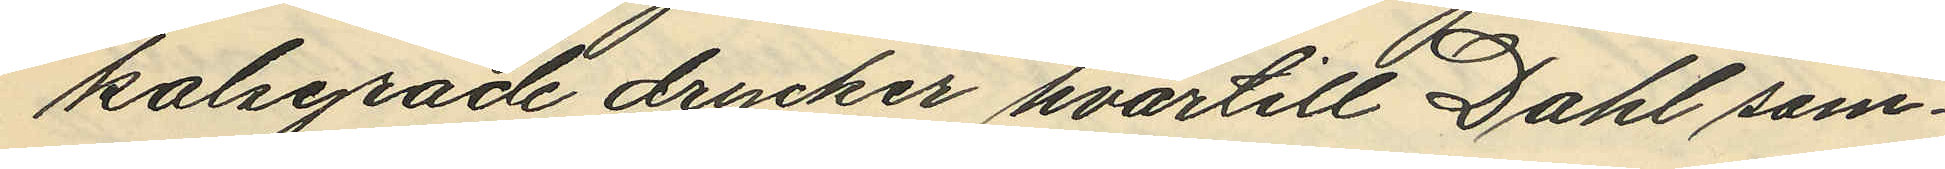kolsyrade drycker hvartill Dahl sam¬
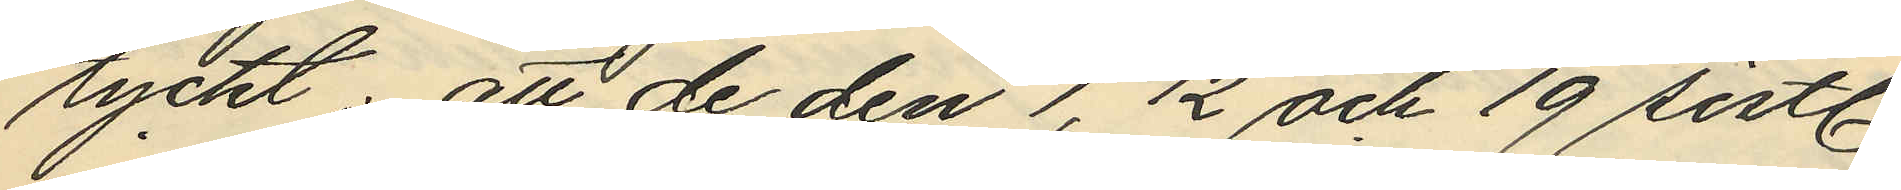tyckt; att de den 1, 12 och 19 sistl.
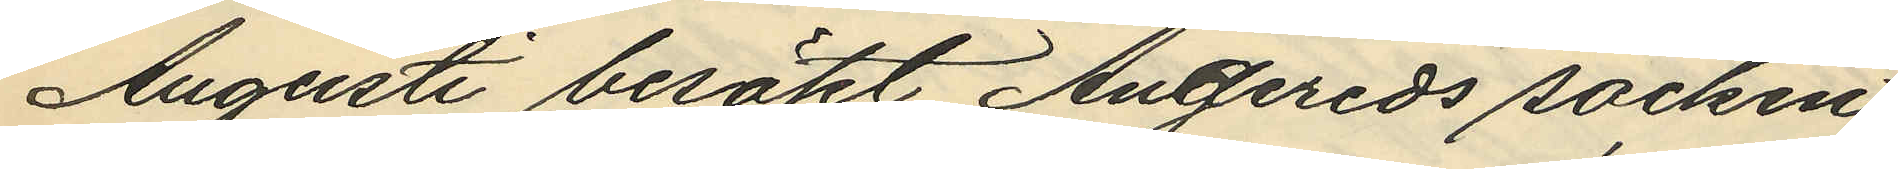Augusti besökt Angereds socken
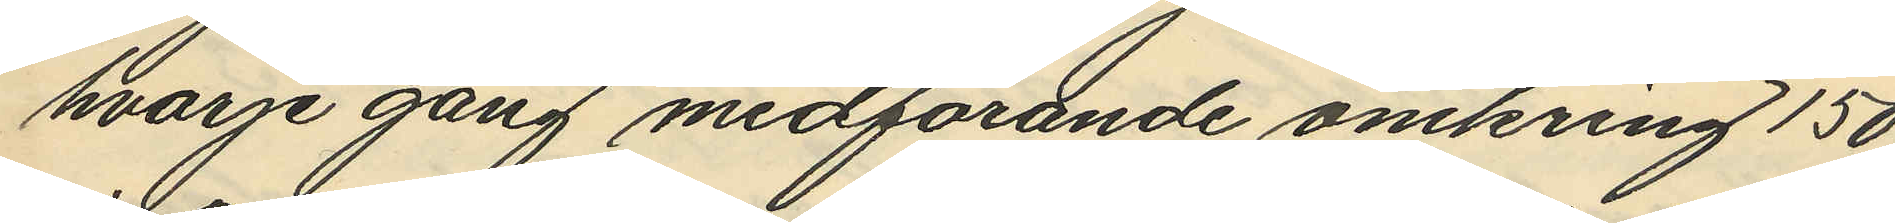hvarje gång medförande omkring 150
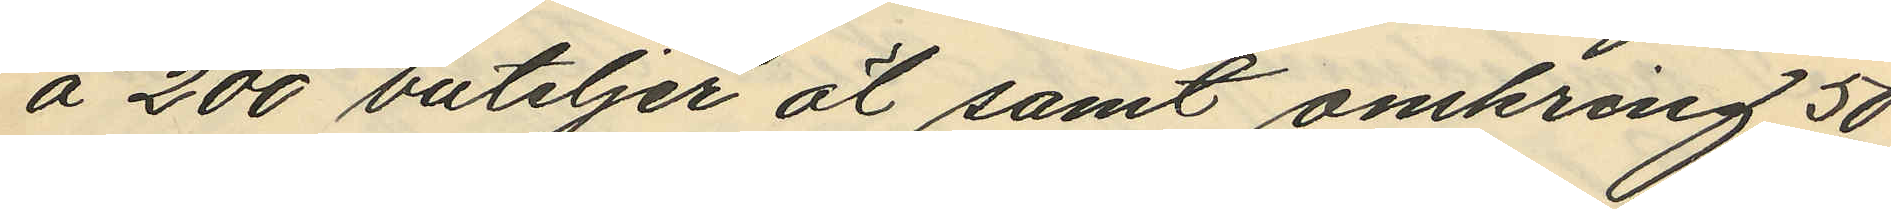á 200 buteljer öl samt omkring 50
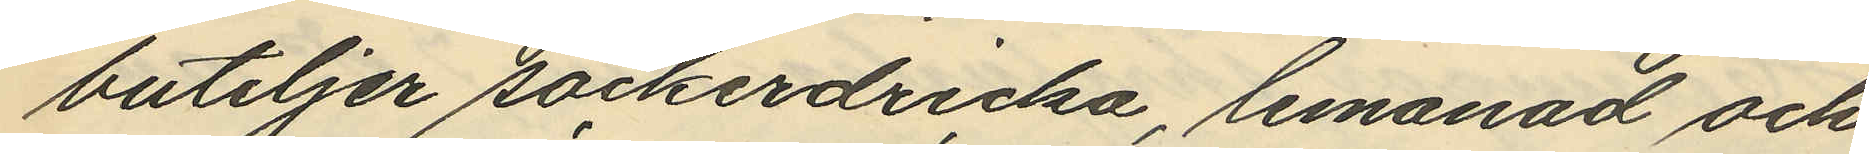buteljer sockerdricka, lemonad och
